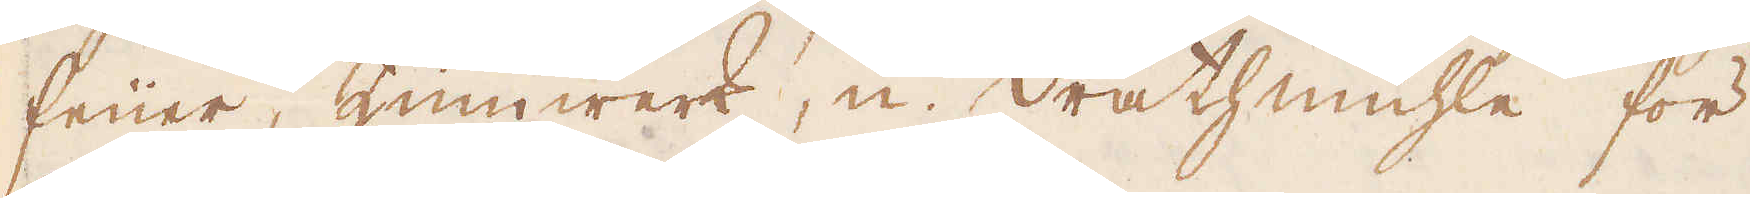feuer, Zinnwerk, u. Drathmühle för
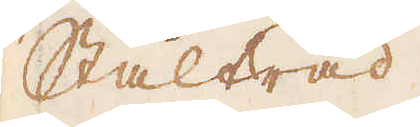Ståltråd.
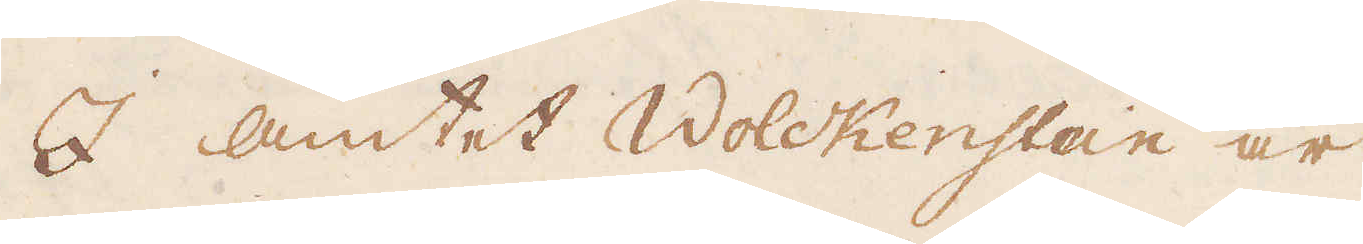I amtet Wolckenstein är
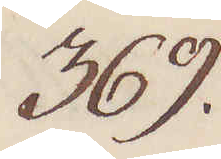369.
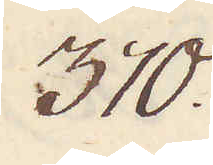370.
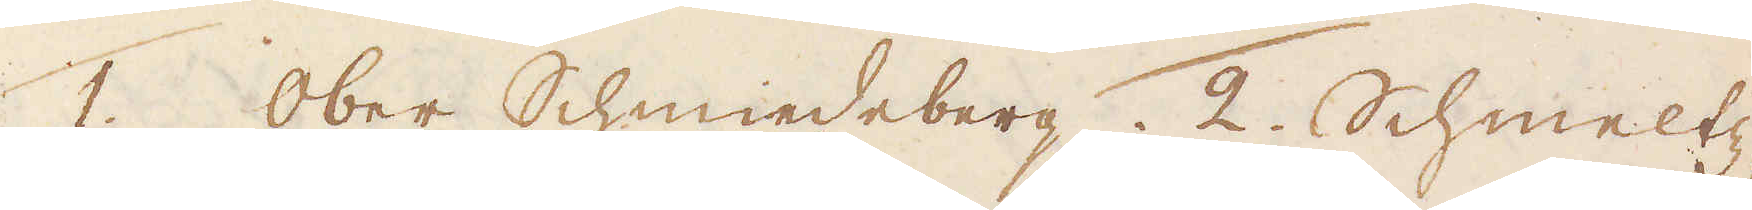1. Ober Schmiedeberg. 2. Schmeltz-
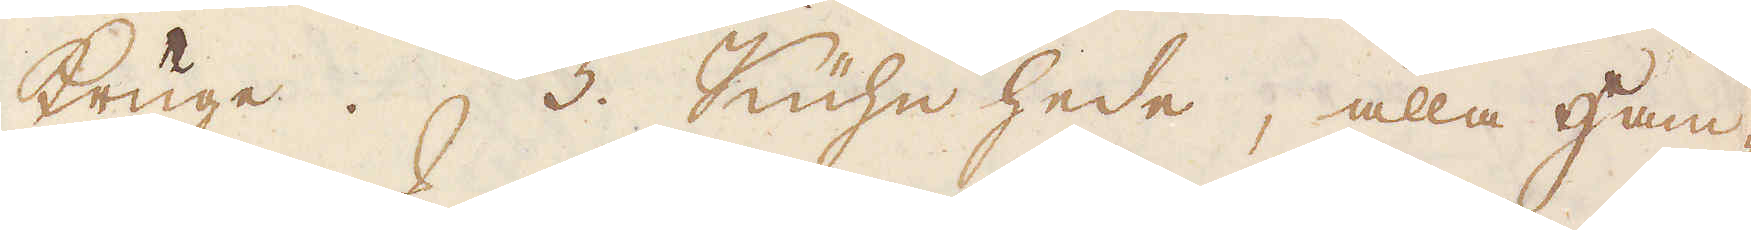kruge. 3. Kühn hede, alla Ham-
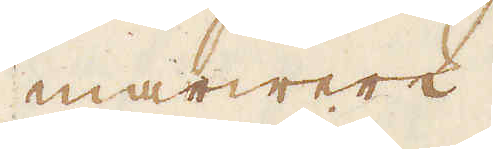marwerk.
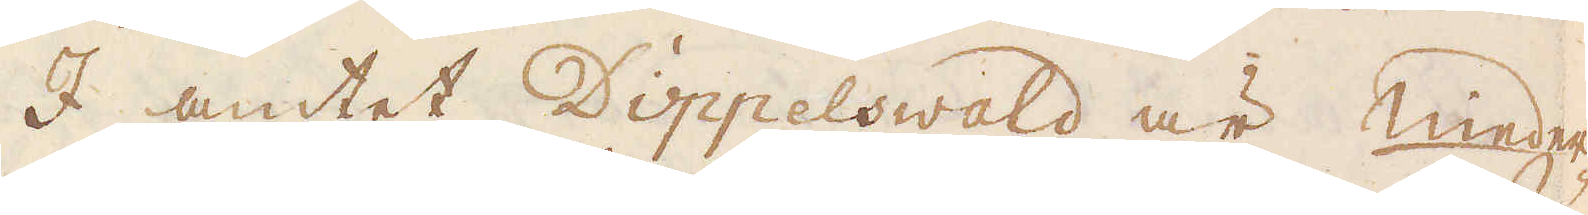I amtet Dippelswald är nieder
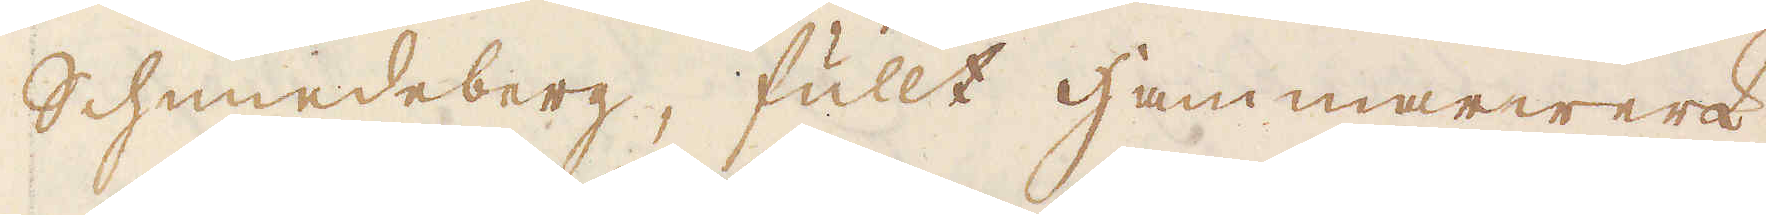Schmiedeberg, fullt hammarwerk.
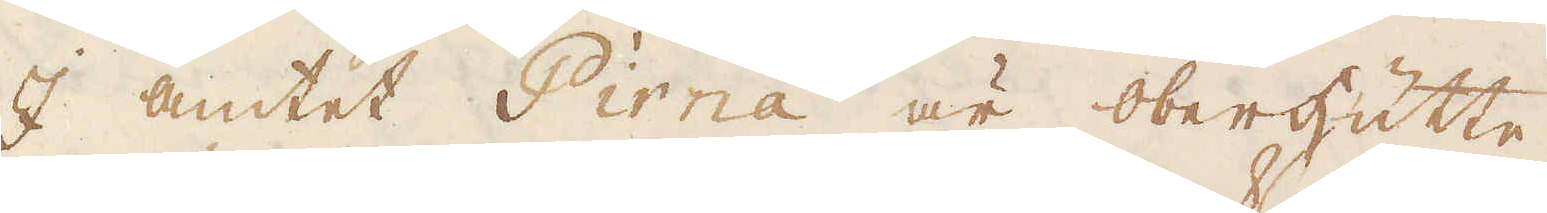I amtet Pirna är Oberhutte
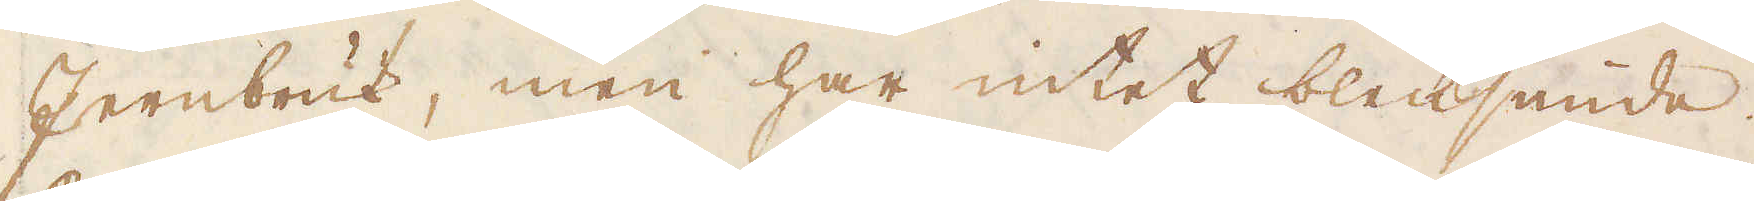Jernbruk, men har intet blecksmide.
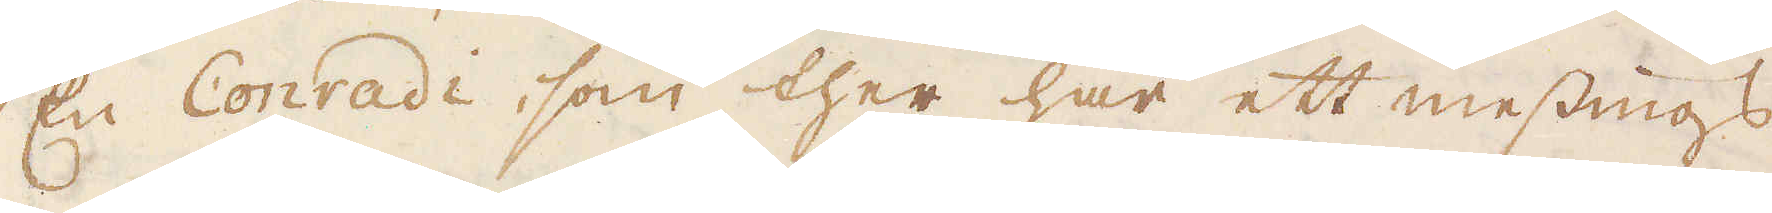En Conradi, som ther har ett messings-
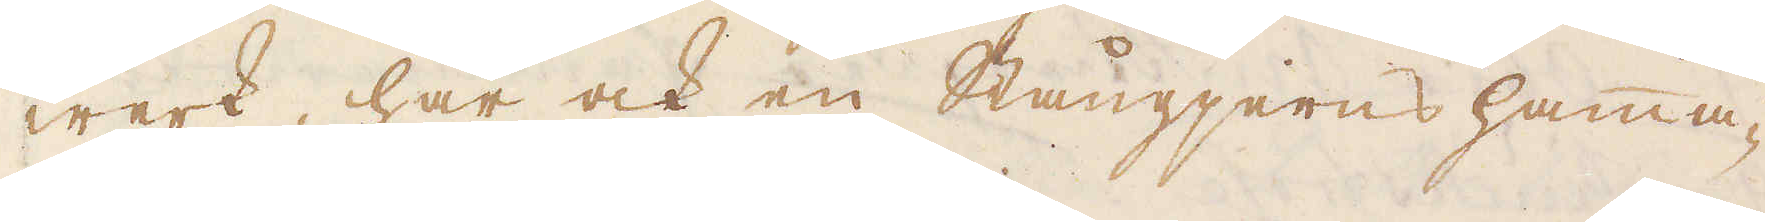werk, har ock en Stångjerns hamma-
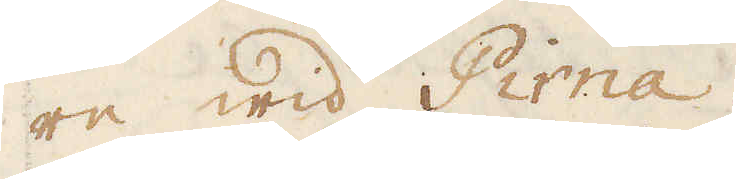re wid Pirna.
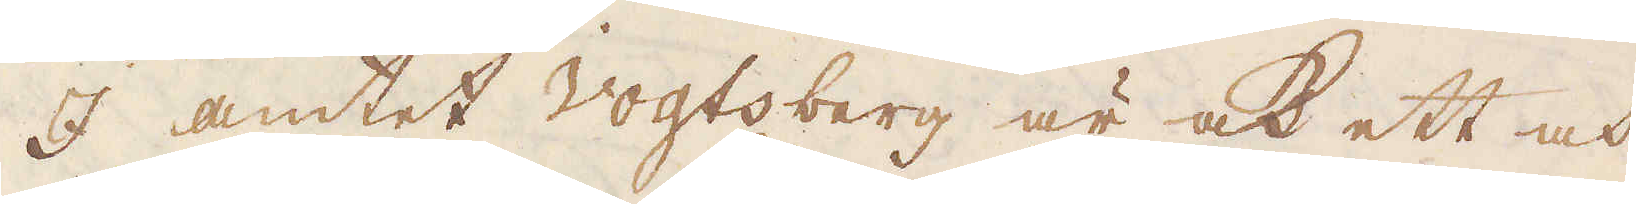I amtet Vogtsberg är ock ett och
